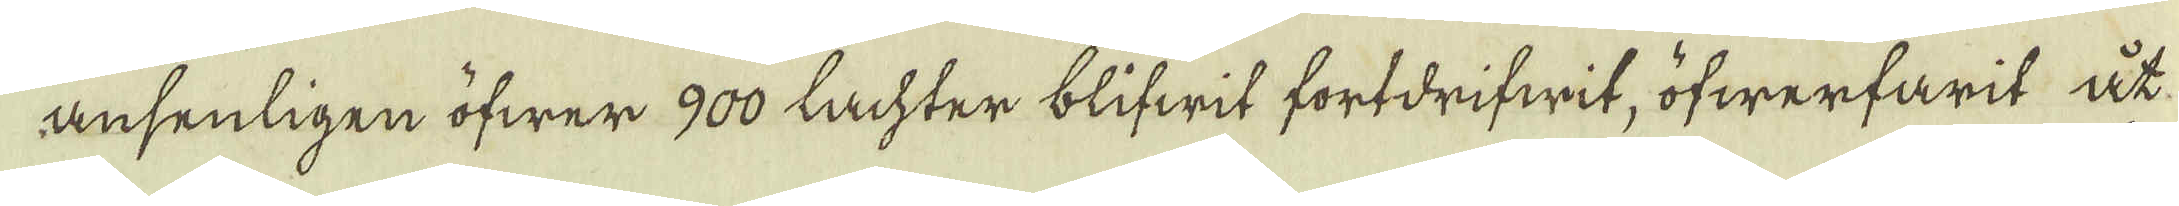ansenligen öfwer 900 Lachter blifwit fortdrifwit, öfwerfarit åt
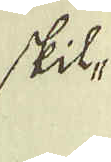skil-
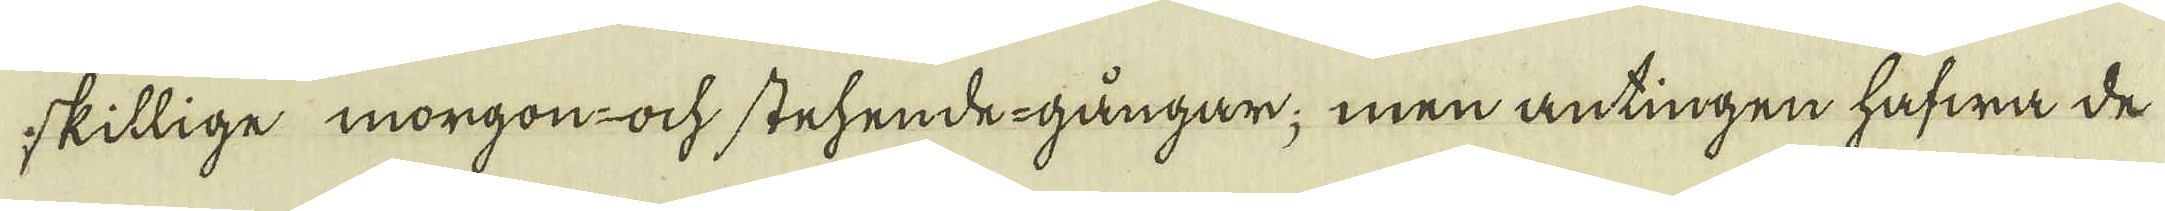skillige morgon- ock stehende -gångar; men antingen hafwa de
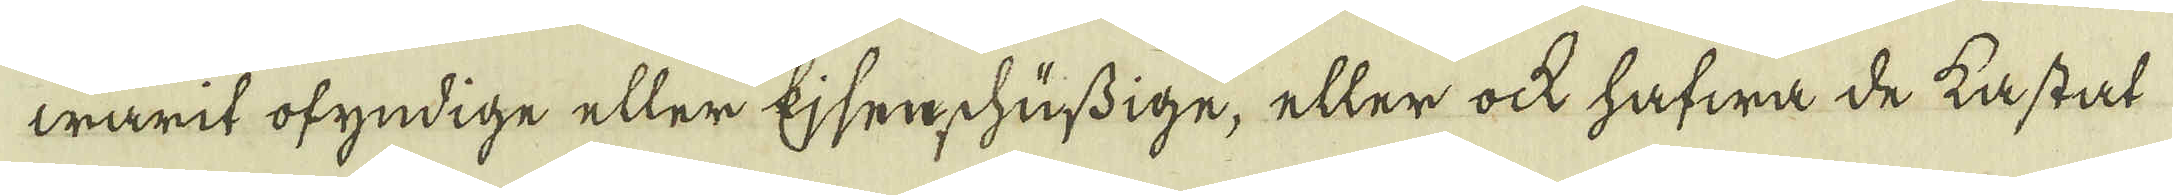warit ofyndige eller Ejsen chussige, eller ock hafwa de kastat
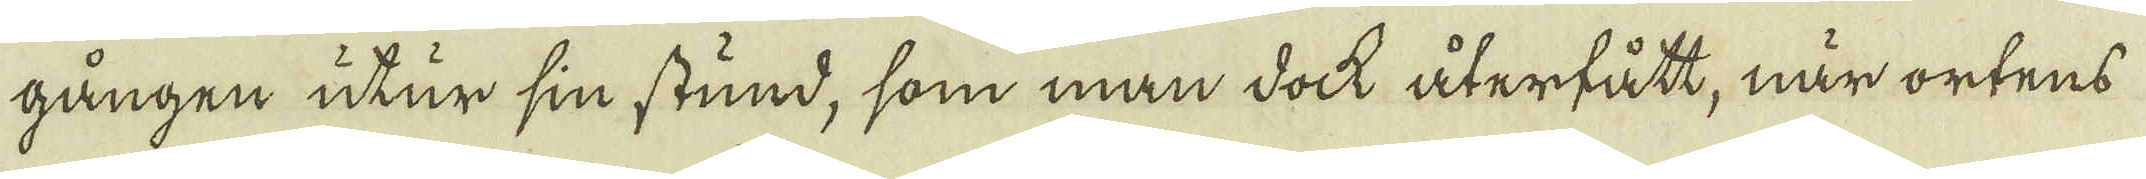gången utur sin stund, som man dock återfått, när ortens
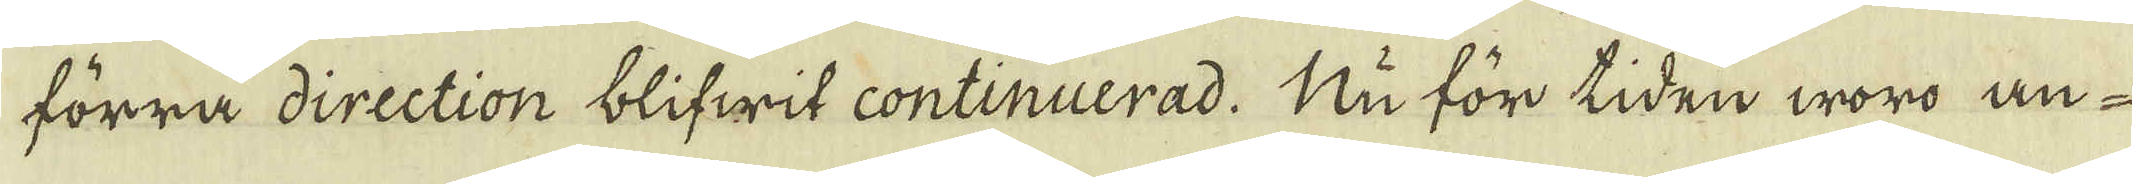förra direction blifwit continuerad. Nu för tiden woro an-
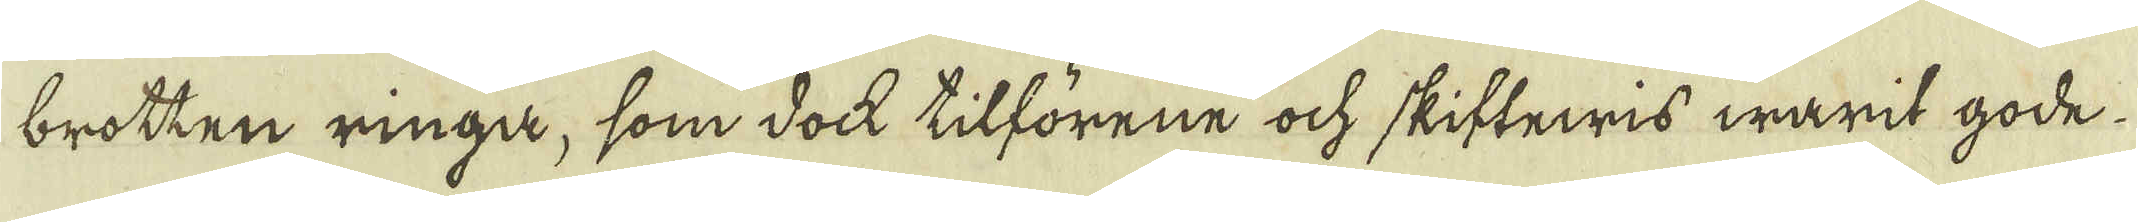brotten ringa, som dock tilförene ock skiftewis warit gode.
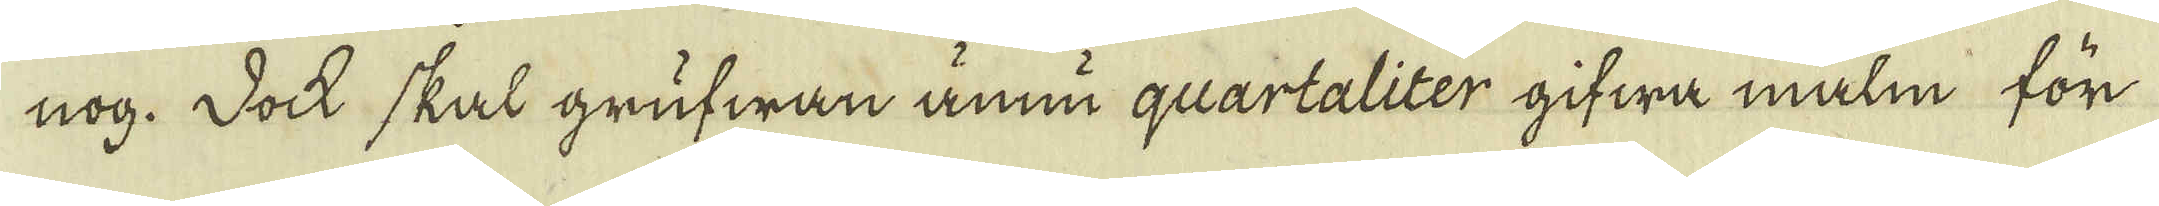nog. Dock skal grufwan ännu quartaliter gifwa malm för
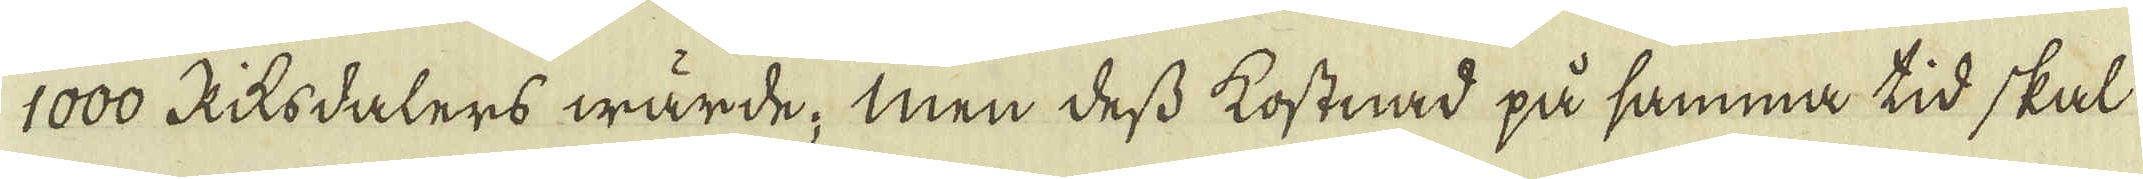1000 Riksdalers wärde; men dess kostnad på samma tid skal
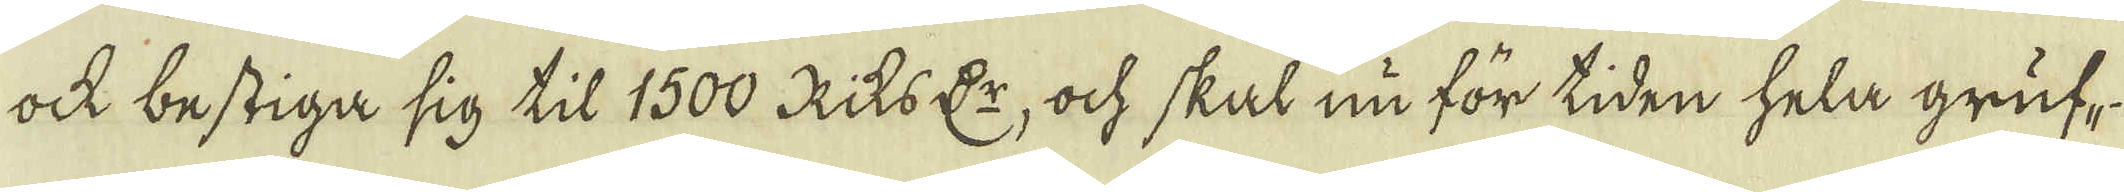ock bestiga sig til 1500 RiksD:r, ock skal nu för tiden hela gruf-
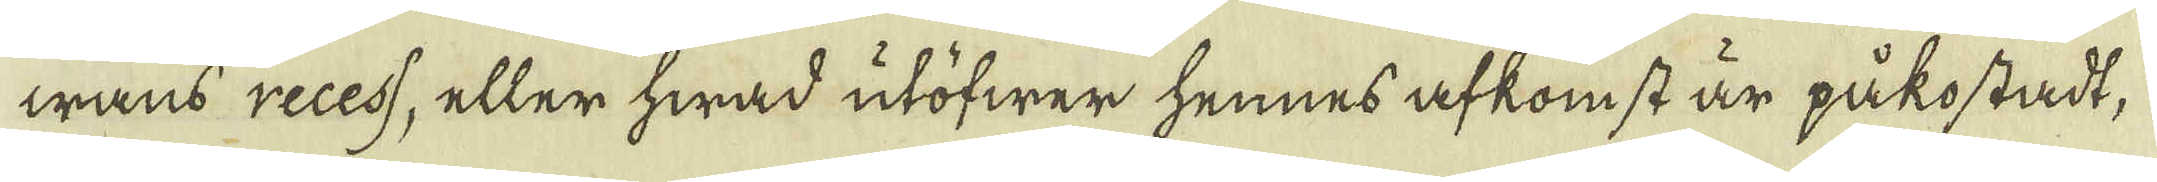wans recess, eller hwad utöfwer hennes afkomst är påkostadt,
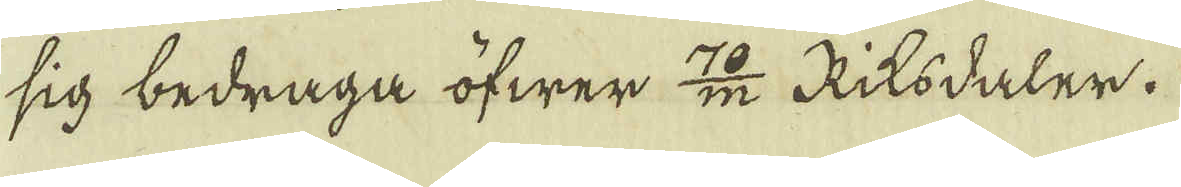sig bedraga öfwer 12 Riksdaler.
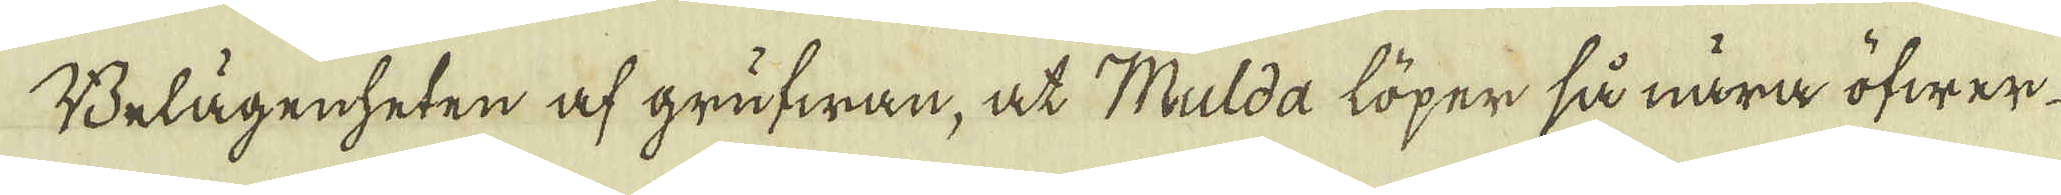Belägenheten af grufwan, at Mulda löper så nära öfwer-
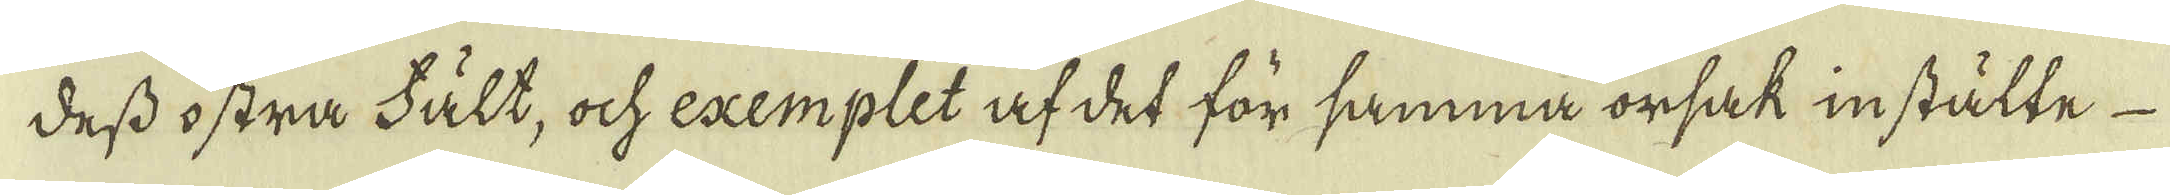dess ostra Fält, och exemplet af det för samma orsak instälte
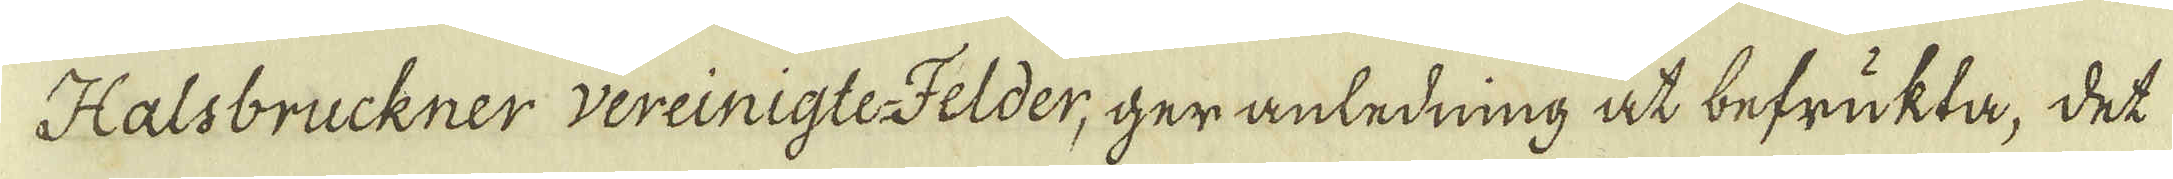Halsbruckner vereinigte-Felder, ger anledning at befrukta, det
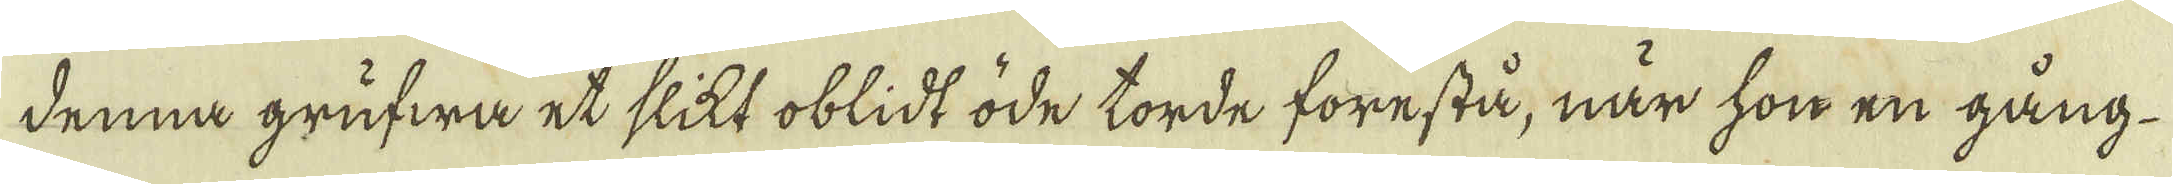denna grufwa et slikt oblidt öde torde förestå, när hon en gång
